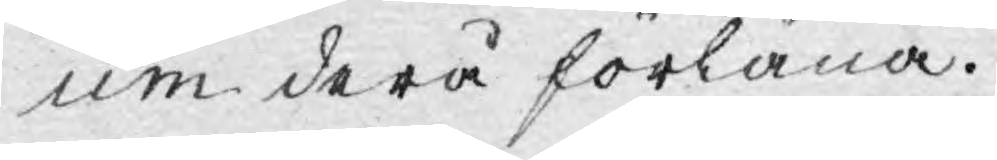um derå förläna.
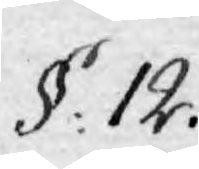§: 12.
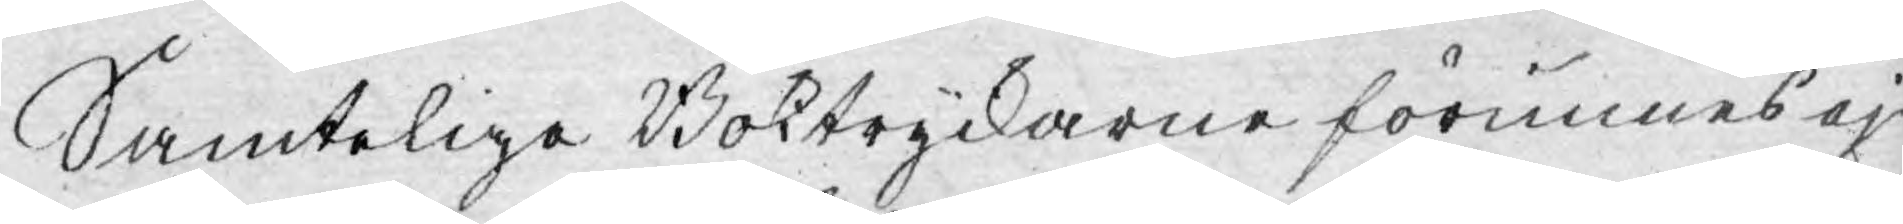Samteliga Boktryckarne förunnes ej
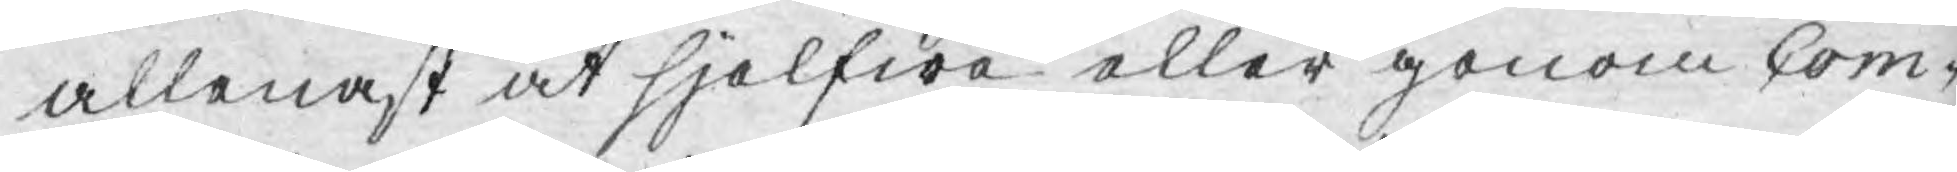allenast at sjelfwa eller genom Com¬
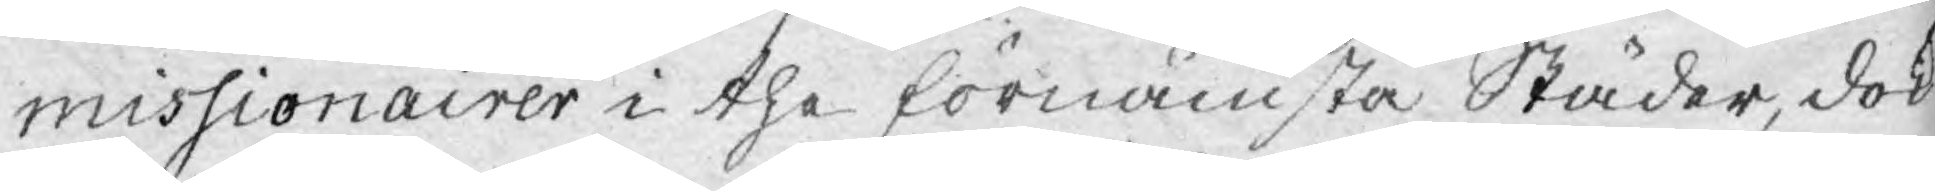missionairer i the förnämsta Städer, dock
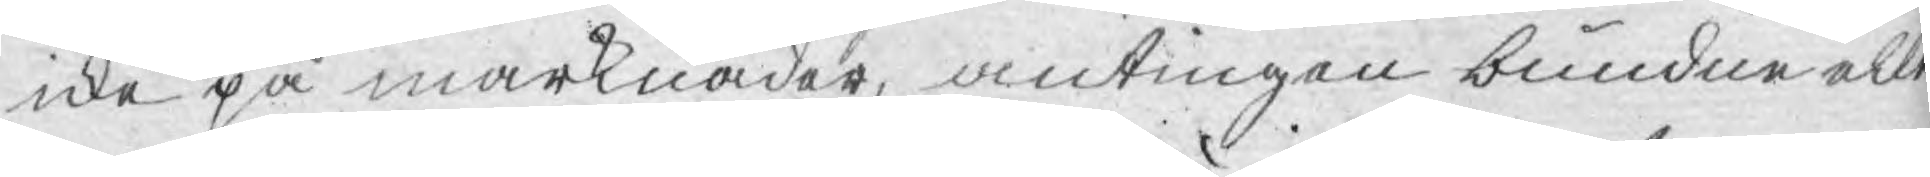icke på marknader, antingen bundne alle
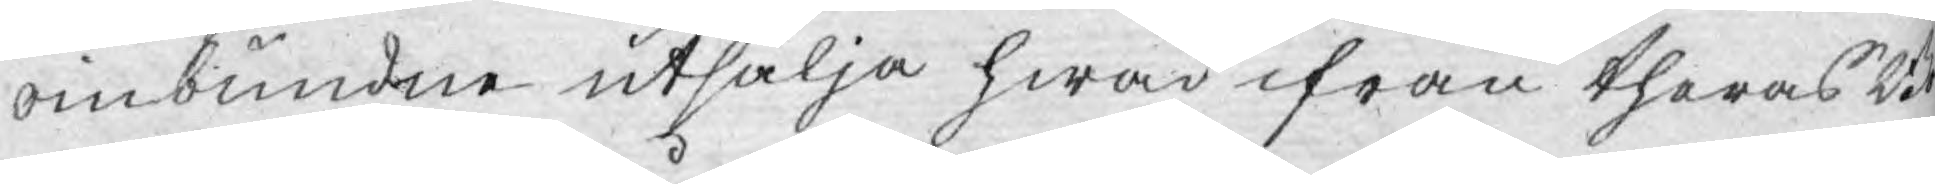oinbundne utsälja hwad ifrån theras Bok¬
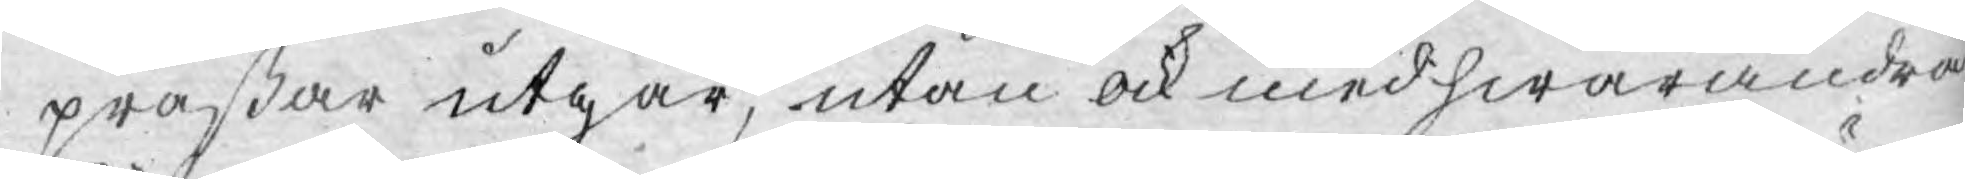präßar utgår, utan ock med hwarandra
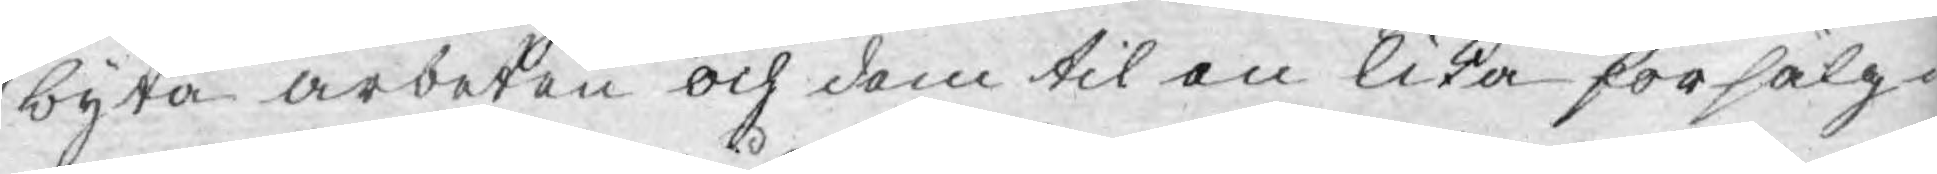byta arbeten och dem til en lika försälg¬
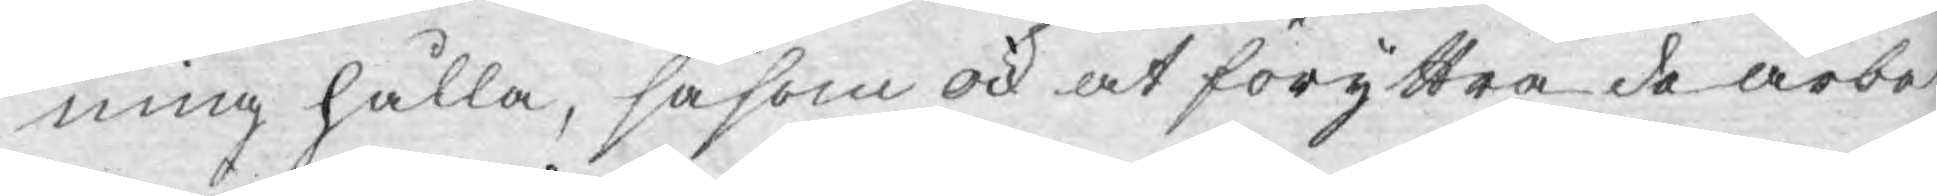ning hålla, såsom ock at föryttra de arbe¬
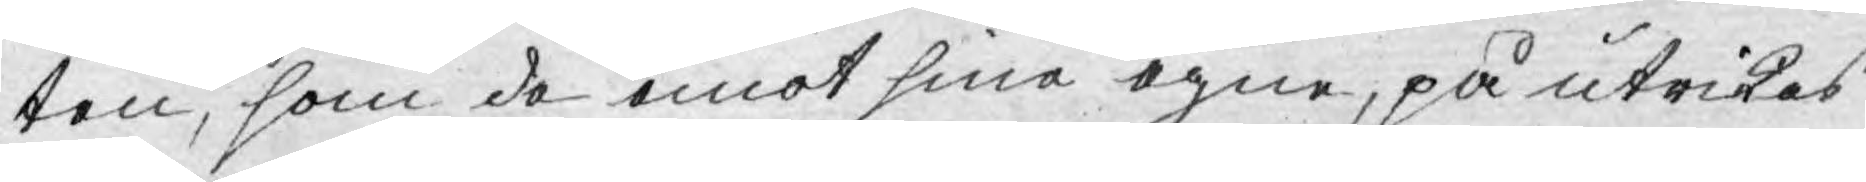ten, som de emot sina egne, på utrikes
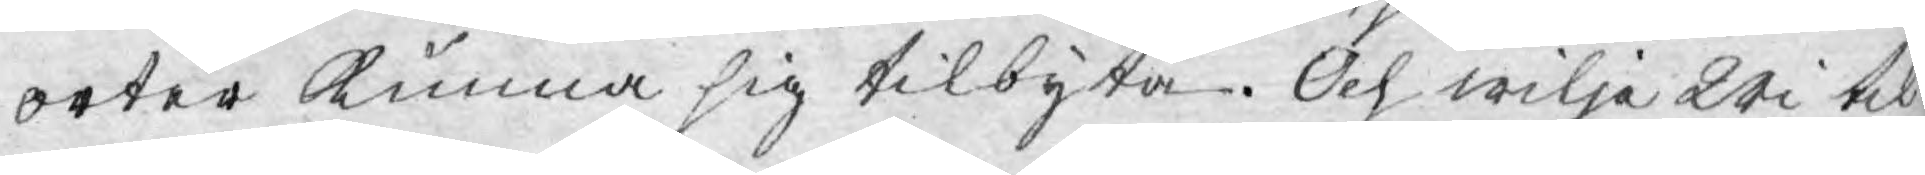orter kunna sig tilbyta. Och wilja Wi til
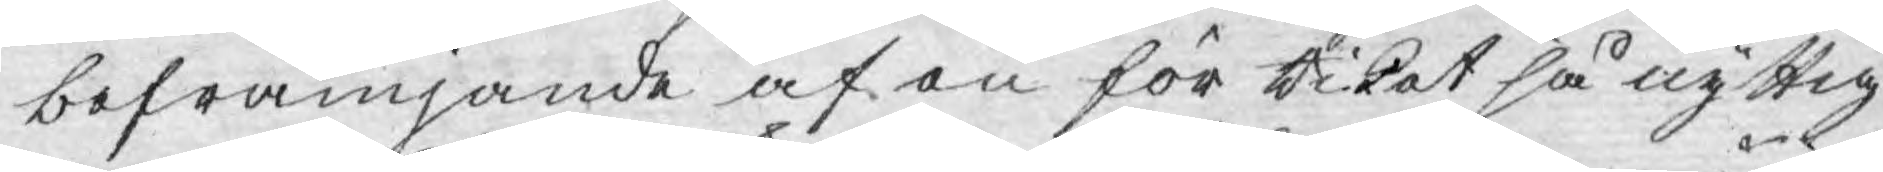befrämjande af en för Riket så nyttig
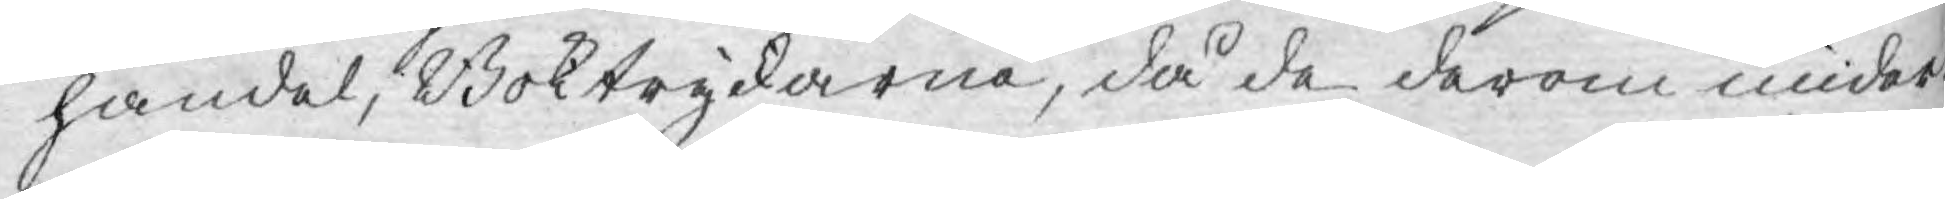handel, Boktryckarna, då de derom under¬
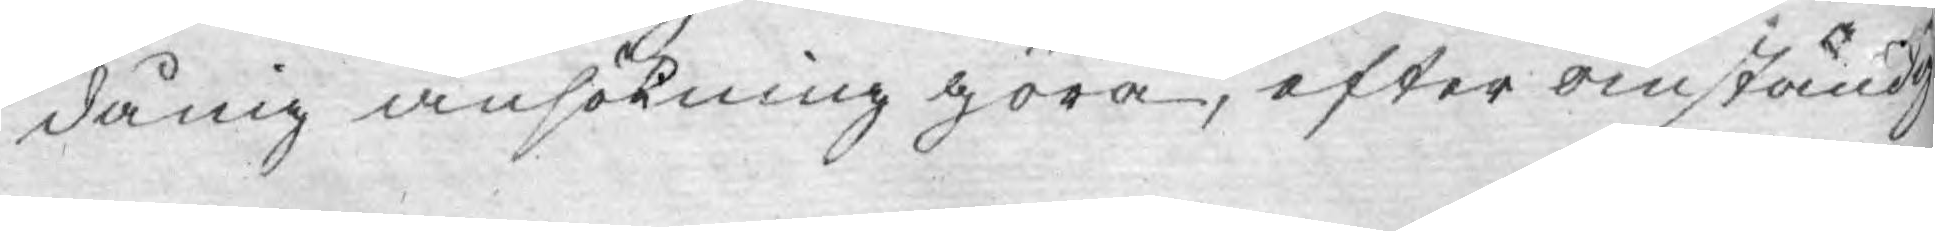dånig ansökning göra, efter omständig¬
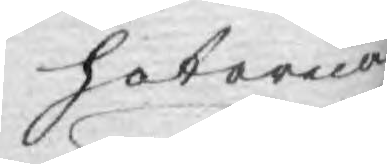heterna
